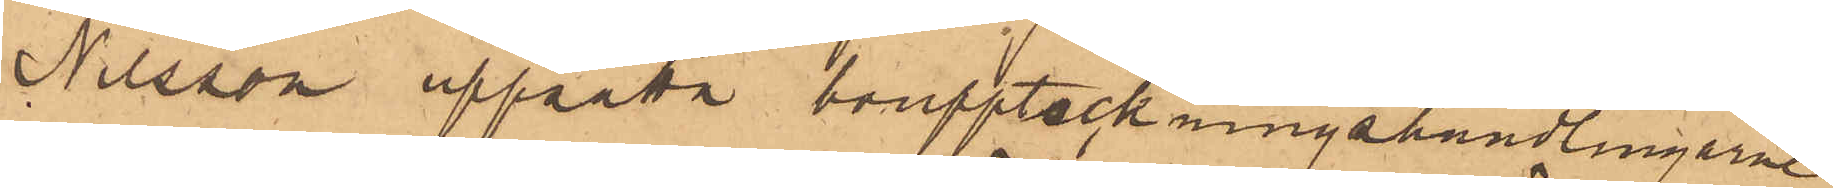Nilsson upprätta bouppteckningshandlingarne
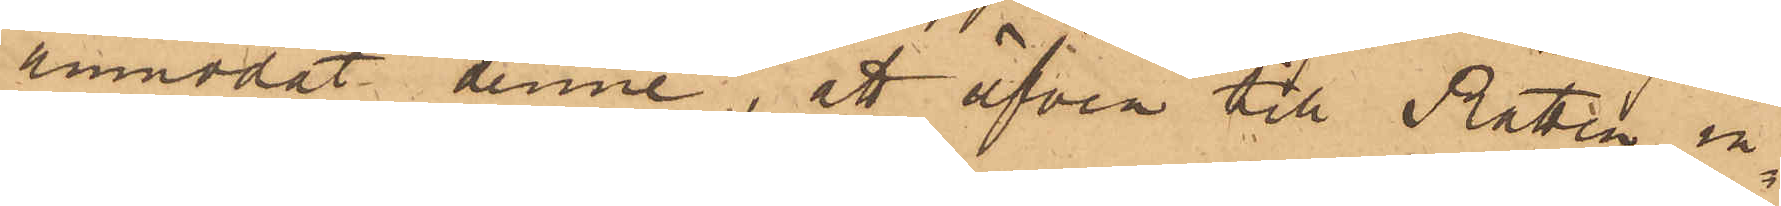anmodat denne, att äfven till Rätten in¬
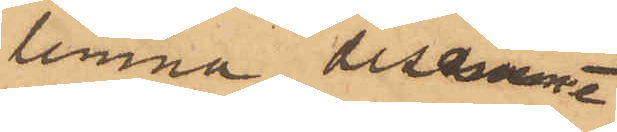lemna desamma
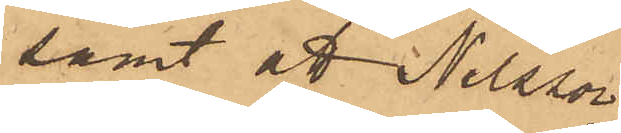samt att Nilsson
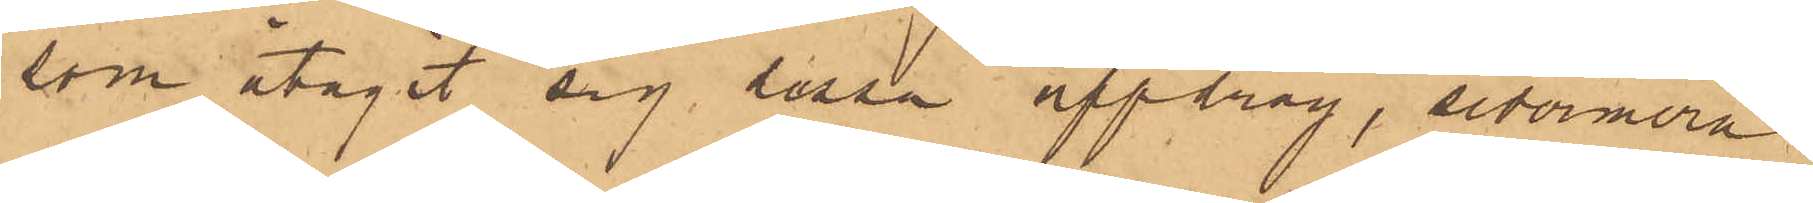som åtagit sig dessa uppdrag, sedermera
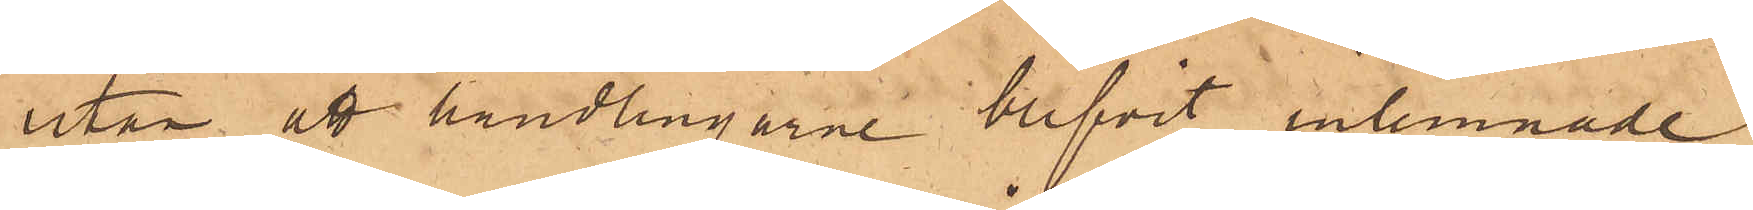utan att handlingarne blifvit inlemnade,
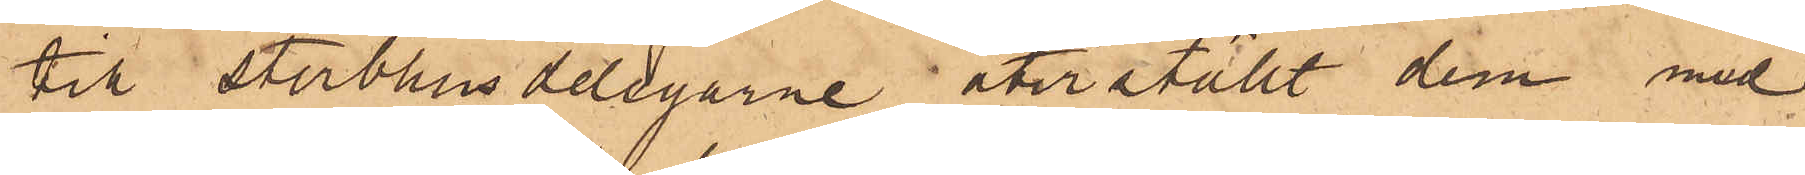till sterbhusdelegarne återställt dem med
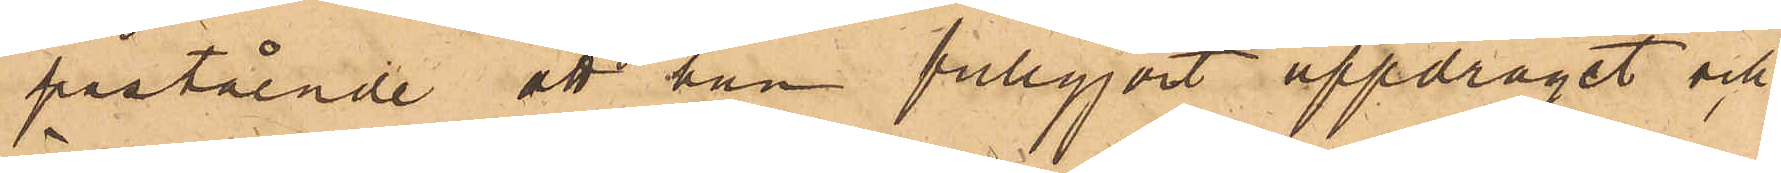påstående att han fullgjort uppdraget och
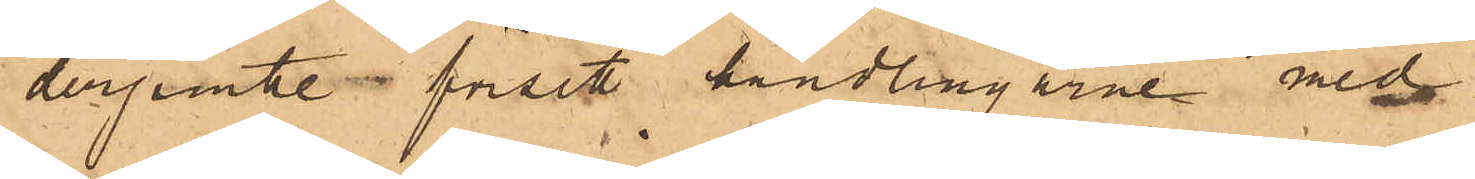derjemte i försett handlingarne med
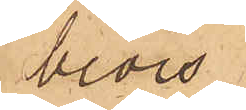bevis
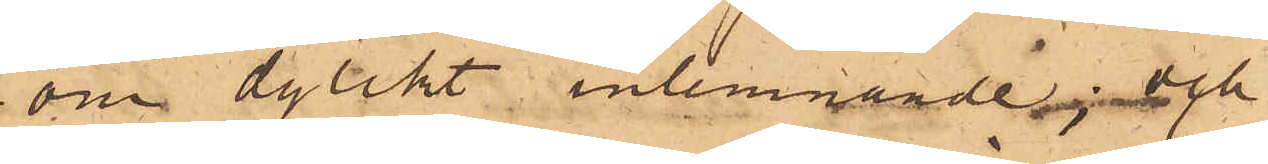om dylikt inlemnande och
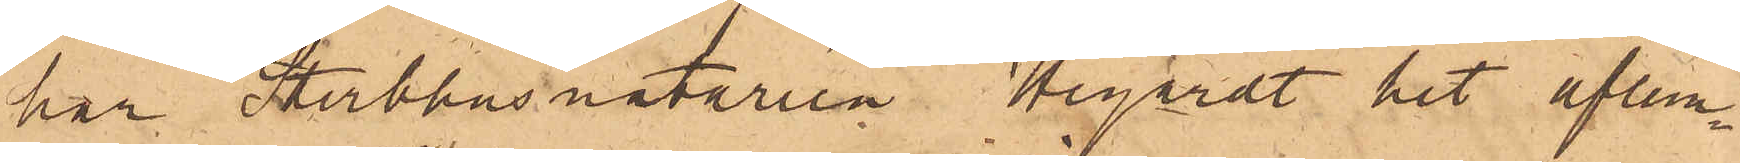har Sterbhusnotarien Hegardt hit aflem¬
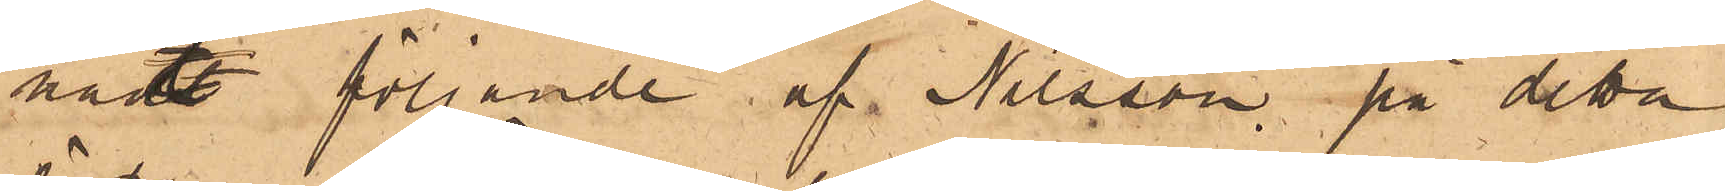nadt följande af Nilsson, på detta
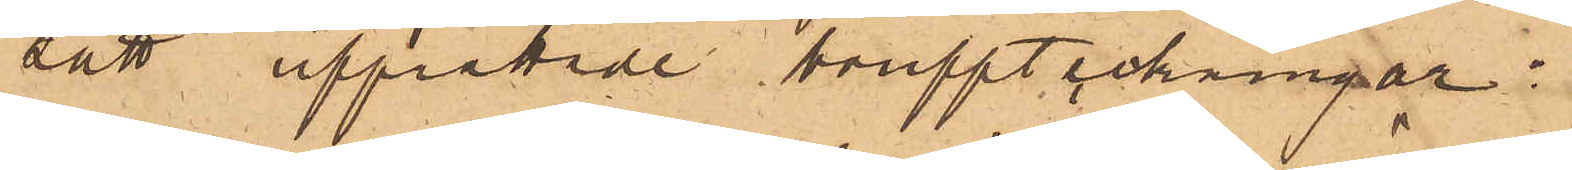sätt upprättade bouppteckningar;
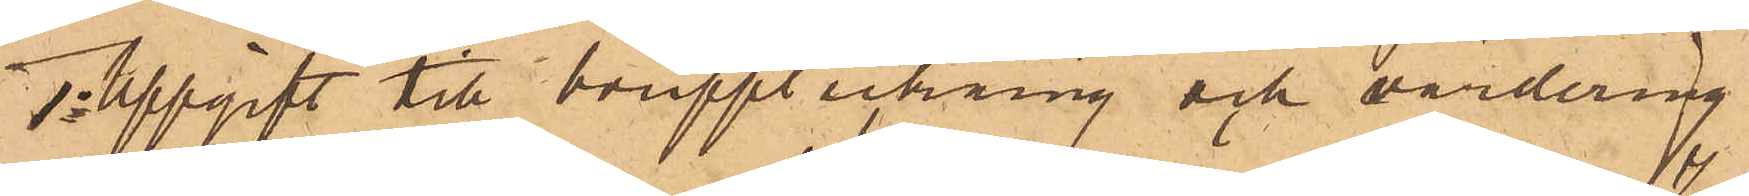1o Uppgift till bouppteckning och värdering
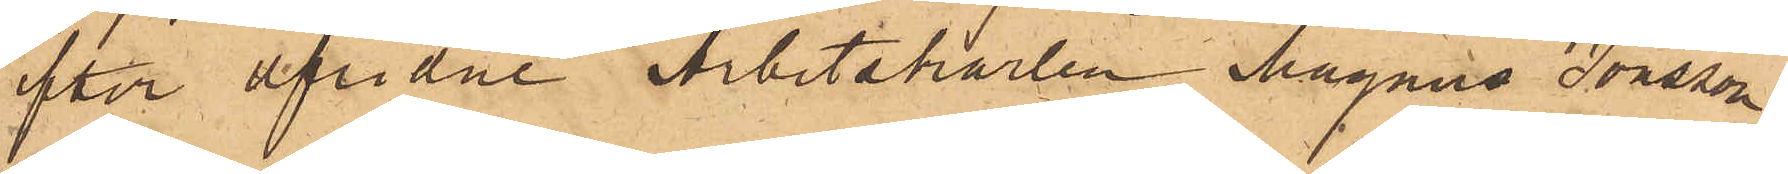efter aflidne Arbetskarlen Magnus Jonsson
